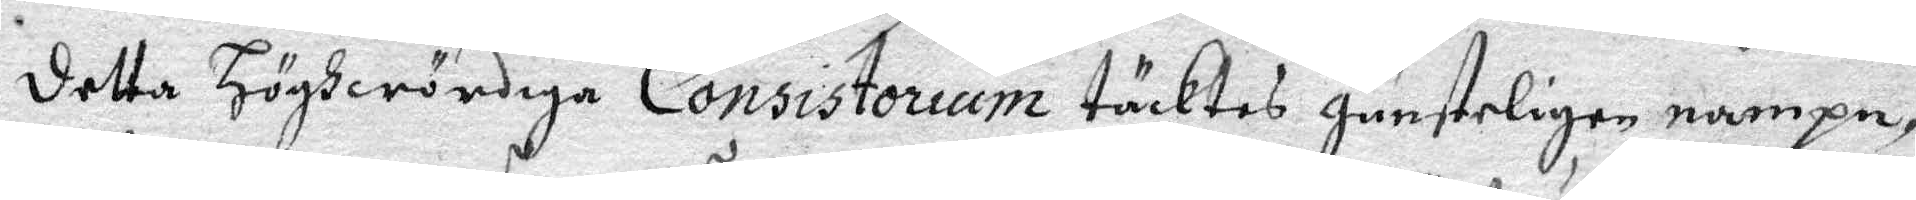detta Höghwördiga Consistorium täcktes gunsteligen nampn,
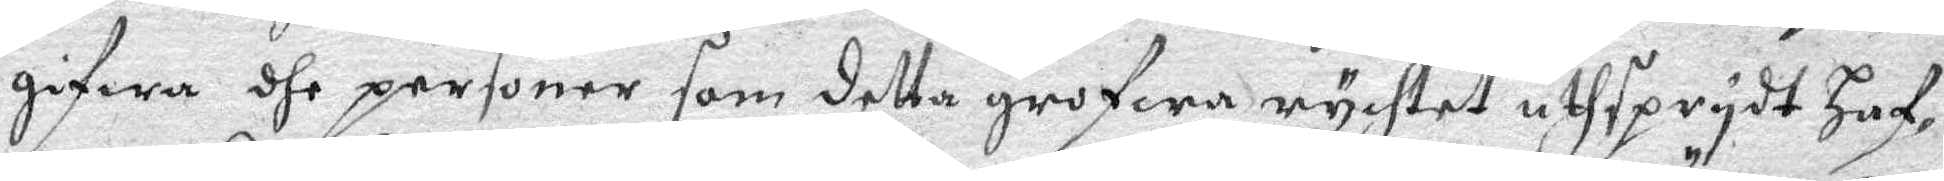gifwa dhe personer som detta grofwa rychtet uthsprydt haf¬
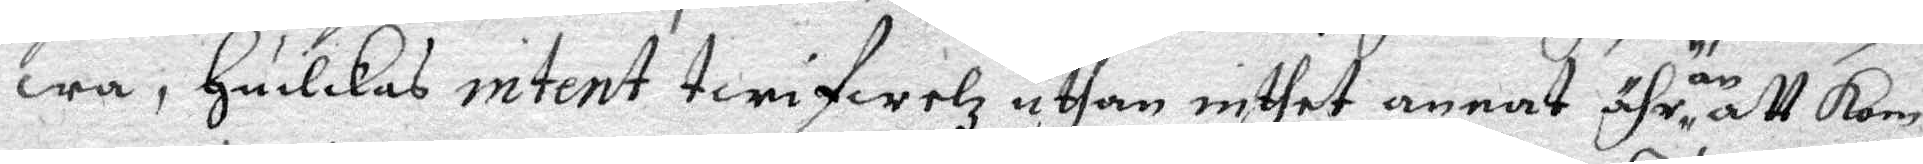wa, huilkas intent twifwelz uthan inthet annat ähr än att Kom¬
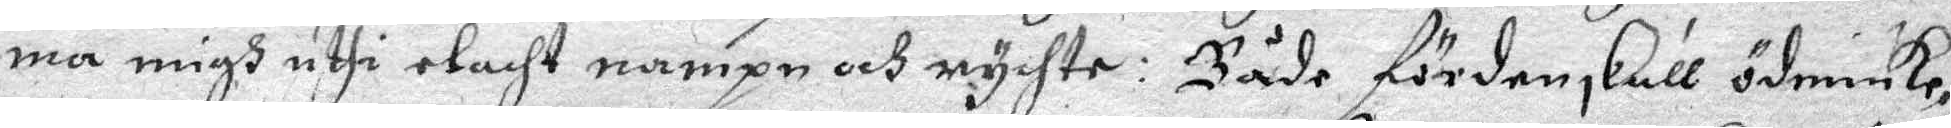ma migh uthi elacht nampn och rychte: Både för den skull ödmiuke¬
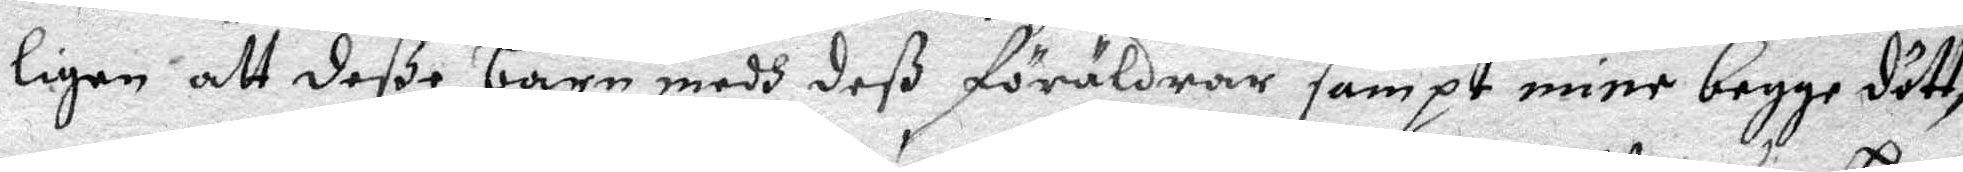ligen att deße barn medh deß föräldrar sampt mine begge dött¬
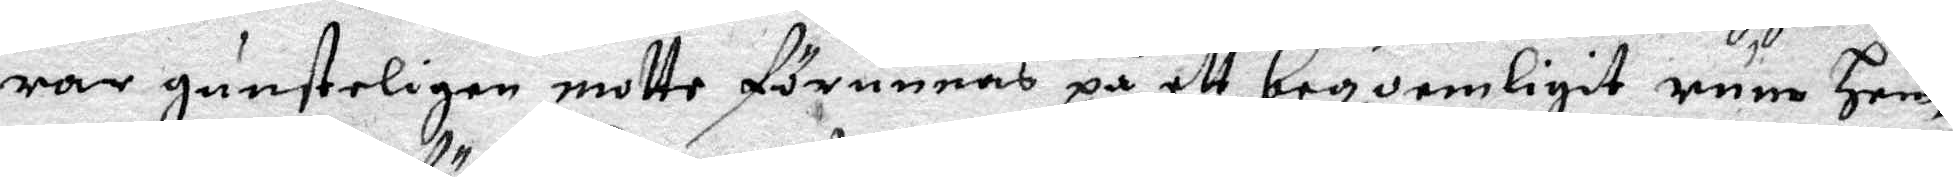rar gunsteligen motte förunnas på ett begoenligit rum Hem¬
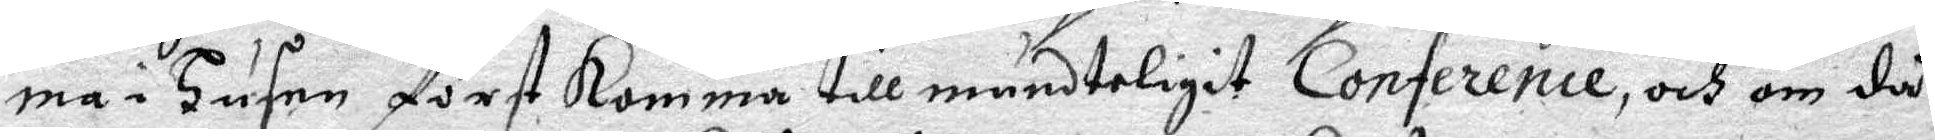ma i Husen först Komma till mundteligit Conference, och om då
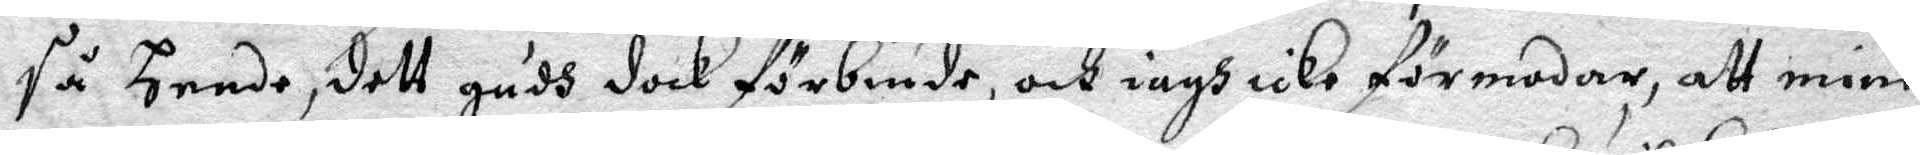så hende, dett gudh dock förbiuda, och iagh icke förmodar, att mine
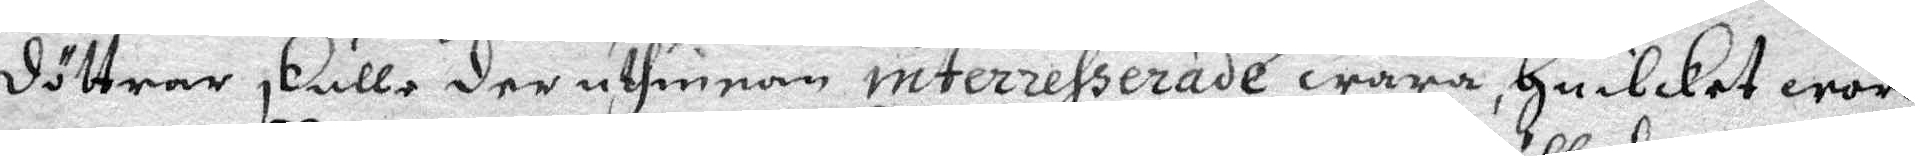döttrar skulle der uthinnan interrehserade wara, Huilcket woro
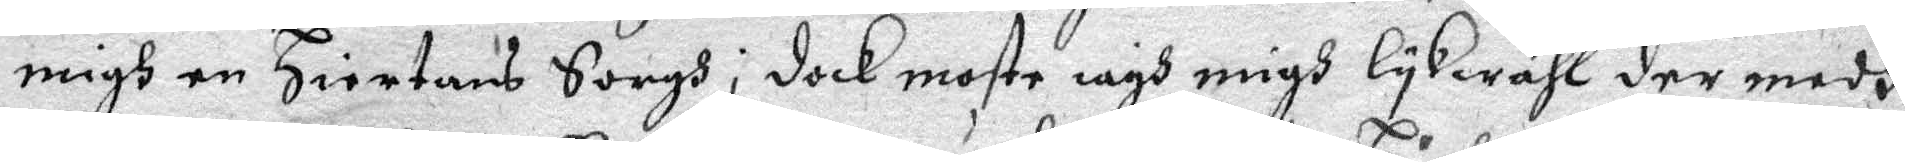migh en Hiertans Sorgh; dock moste iagh migh lykwähl der medh
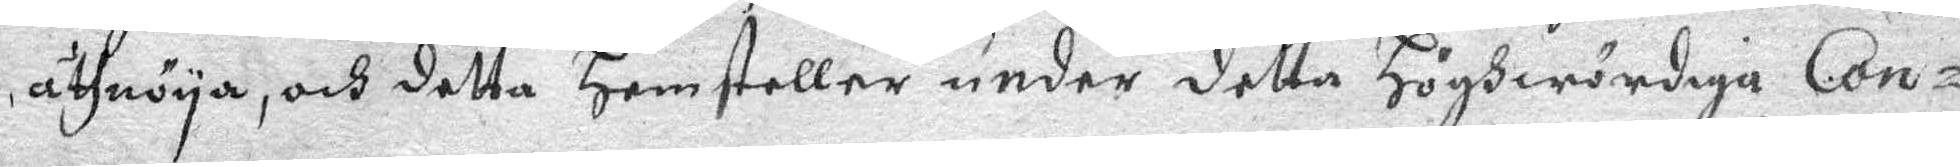åthnöya, och detta hemsteller under detta Höghwördiga Con¬
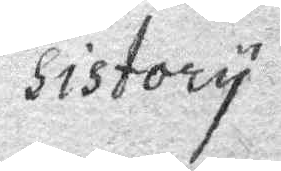sistory
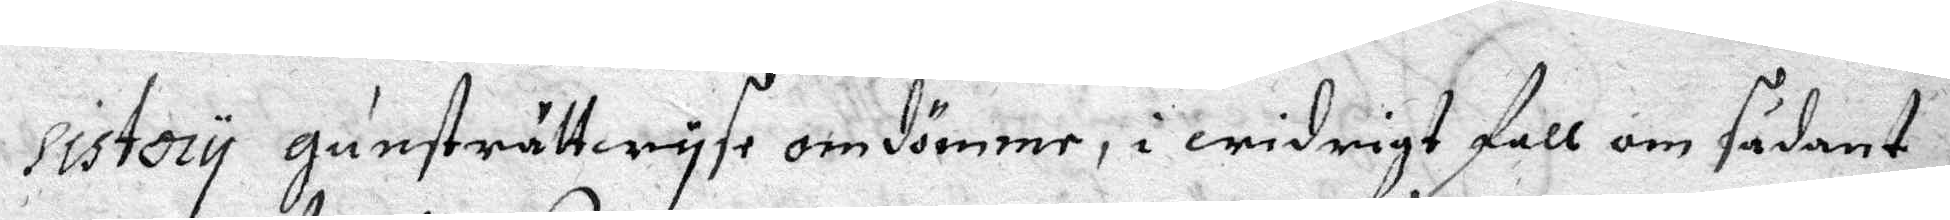Sistory gunsträttwyse omdömme, i widrigt fall om sådant
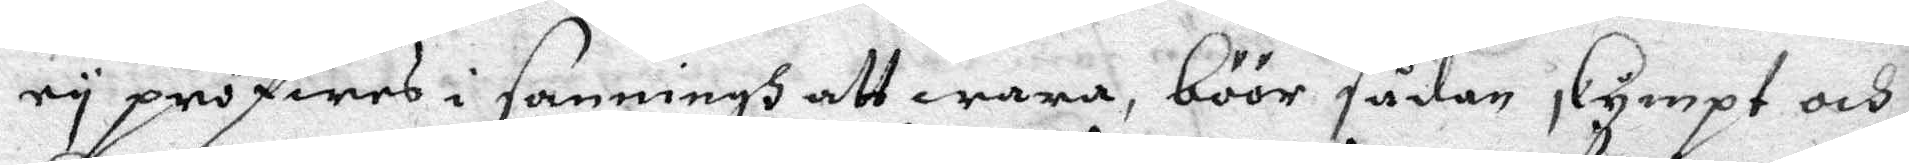ey pröfwas i sanningh att wara, böör sådan, Kympt och
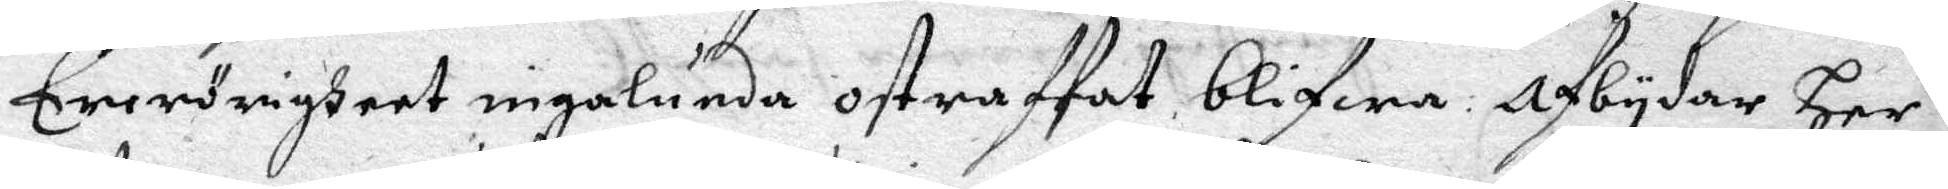Erwörigheet ingalunda ostraffat blifwa, afbydar Her¬
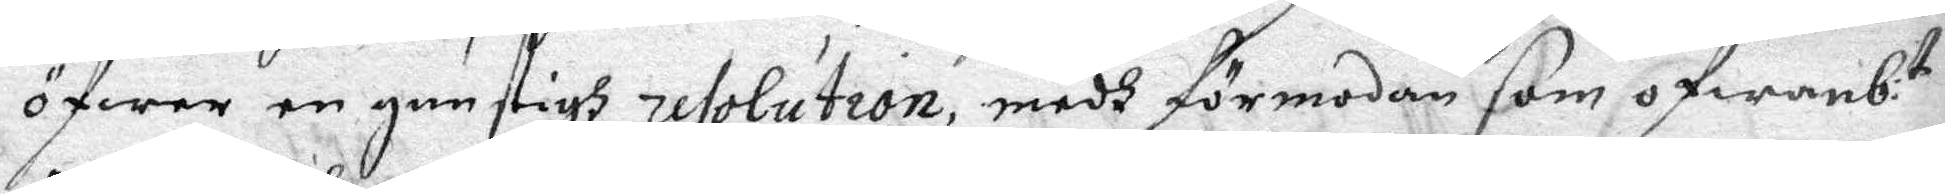öfwer en gunstigh resolution, medh förmodan som ofwanb:te
